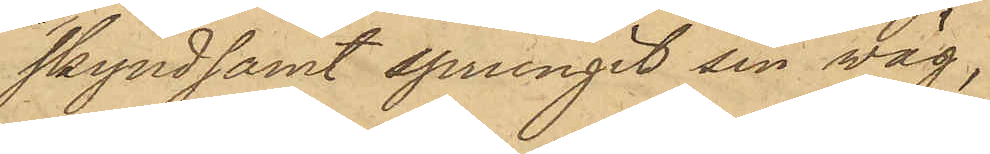skyndsamt sprungit sin väg,
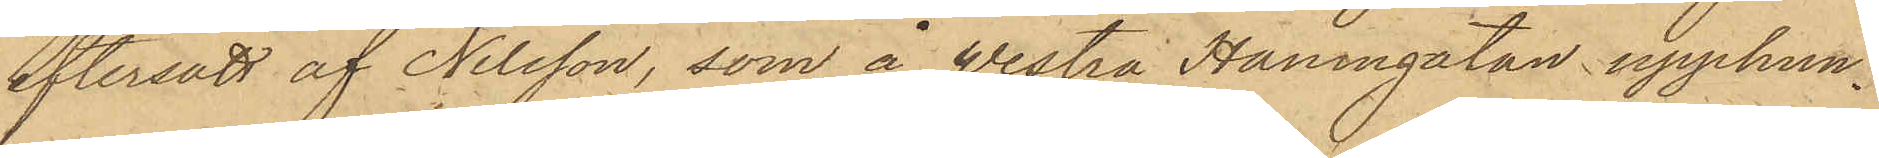eftersatt af Nilsson, som å Westra Hamngatan upphun¬
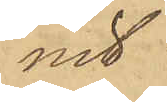nit
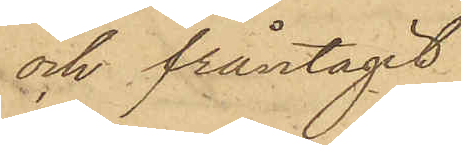och fråntagit
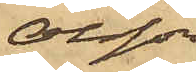Olsson
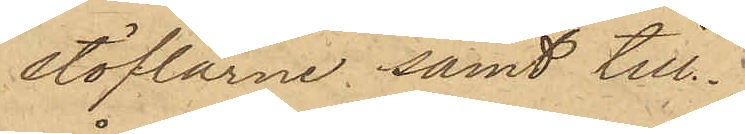stöflarne samt till¬
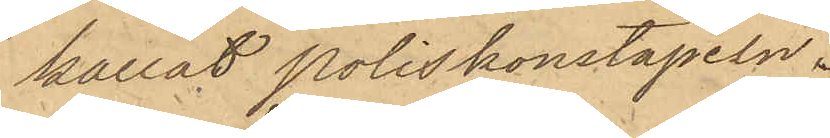kallat poliskonstapeln.
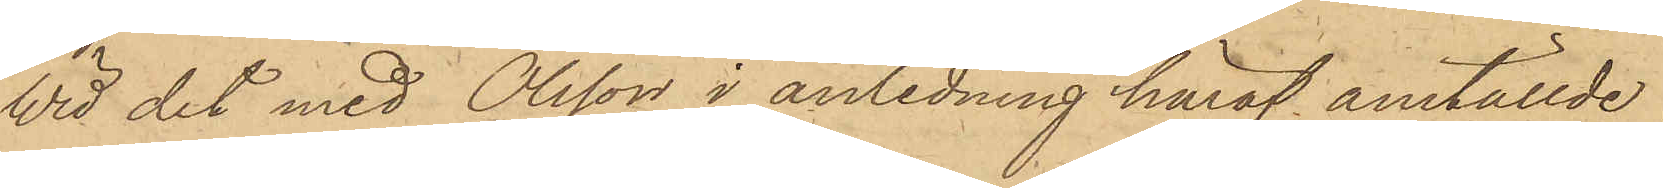Wid det med Olsson i anledning häraf anställde
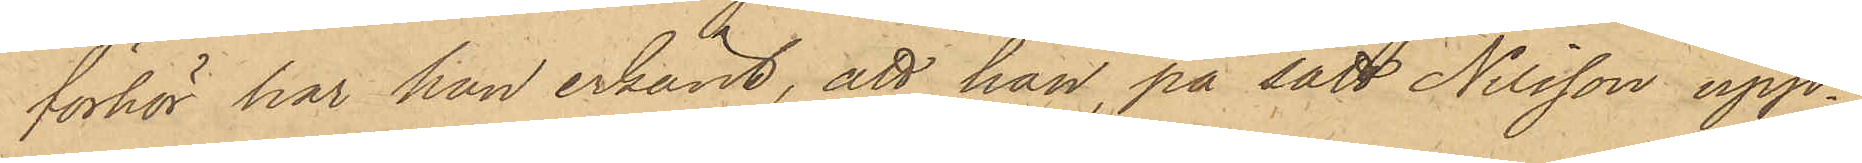förhör har han erkänt, att han, på sätt Nilsson upp¬
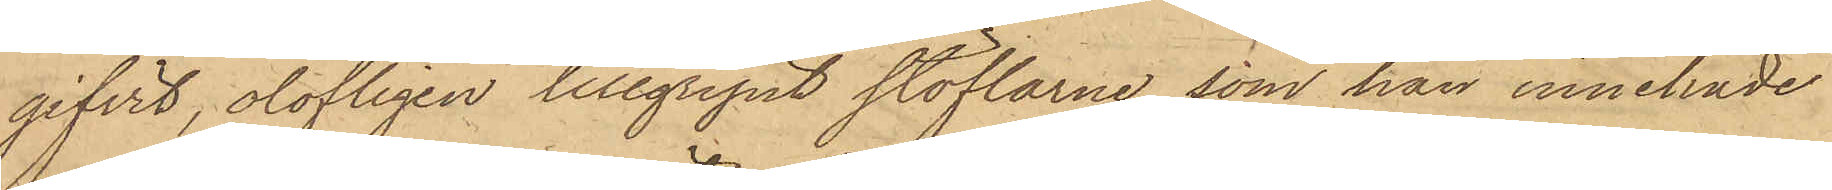gifvit, olofligen tillgripit stöflarne, som han innehade
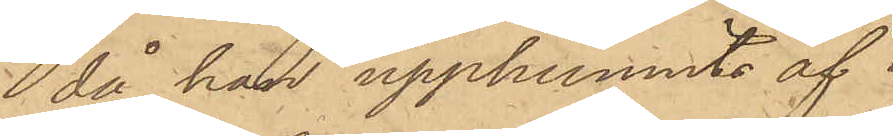då han upphunnits af
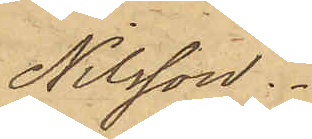Nilsson.
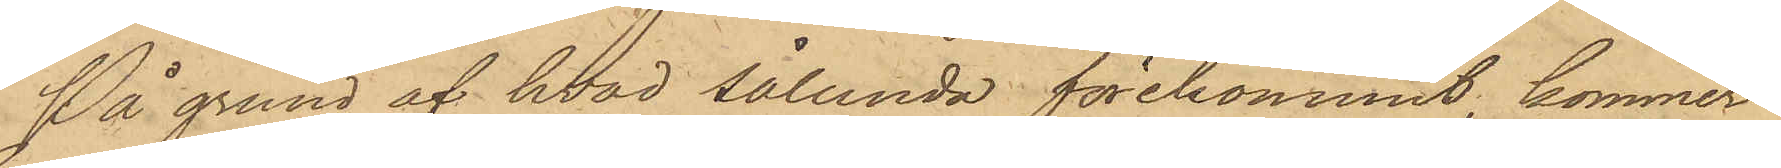På grund af hvad sålunda förekommit, kommer
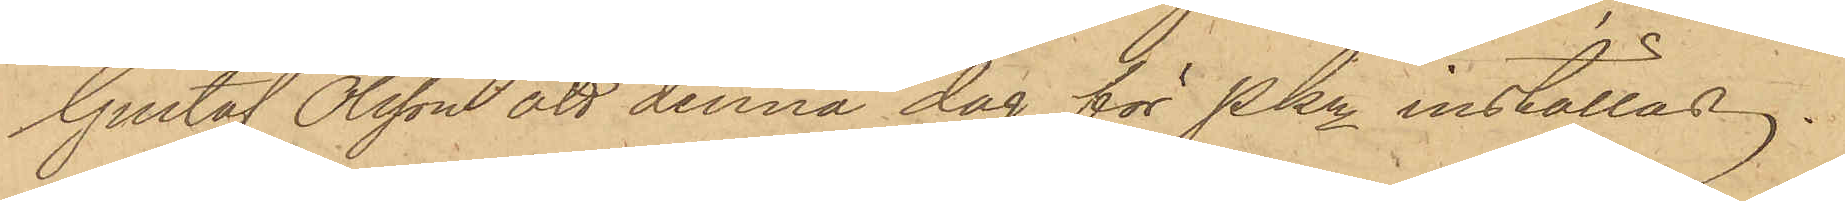Gustaf Olsson att denna dag för PKn inställas.
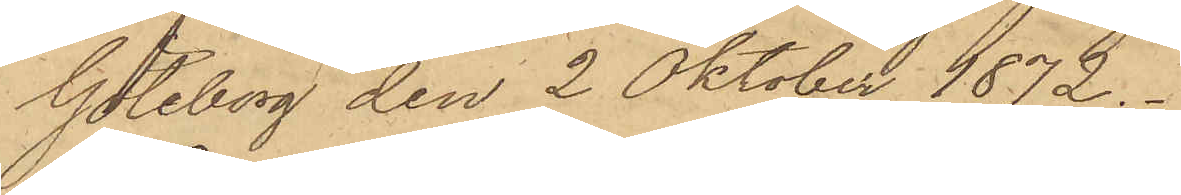Göteborg den 2 Oktober 1872.
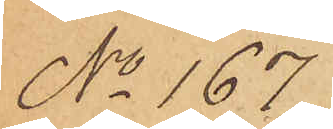No 167.
